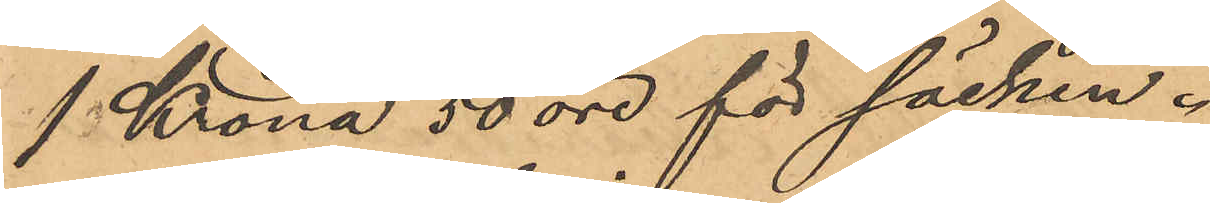1 Krona 50 öre för säcken.
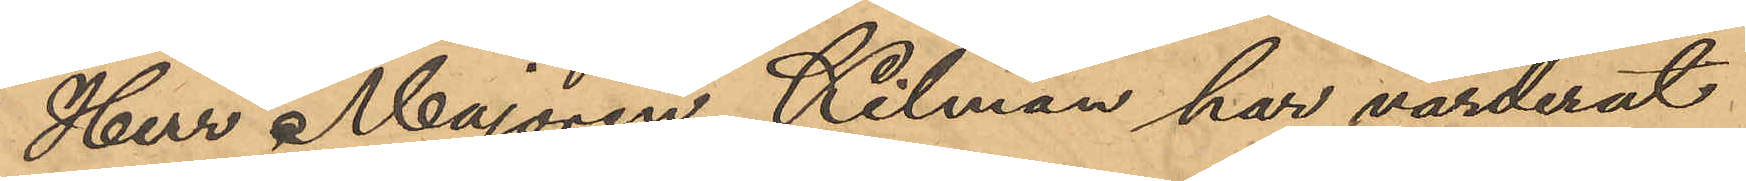Herr Majoren Kilman har värderat
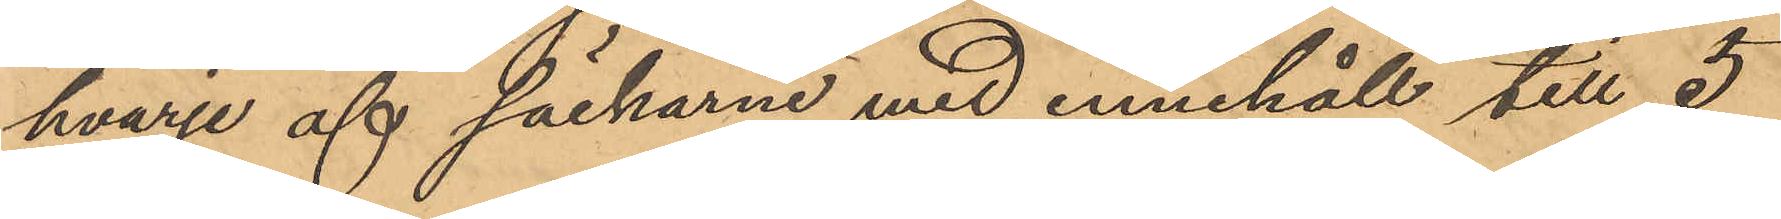hvarje af säckarne med innehåll till 5
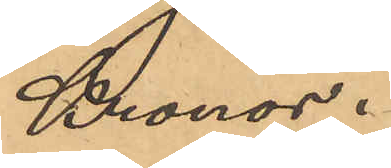Kronor.
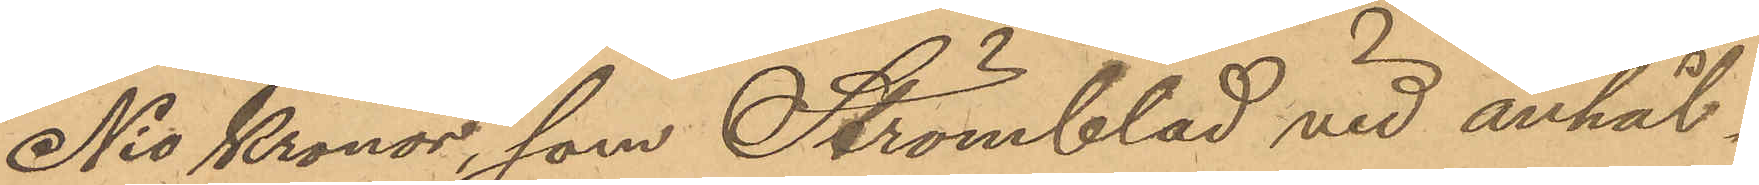Nio Kronor, som Strömblad vid anhål¬
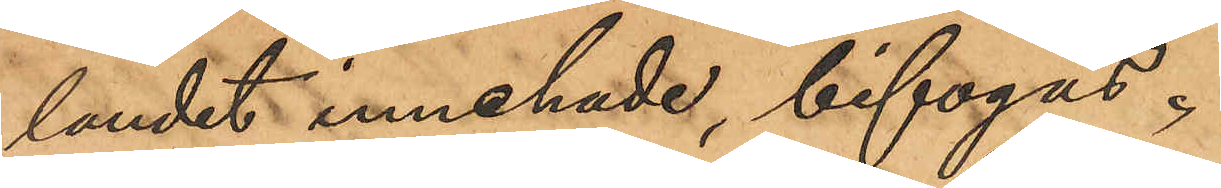landet innehade, bifogas.
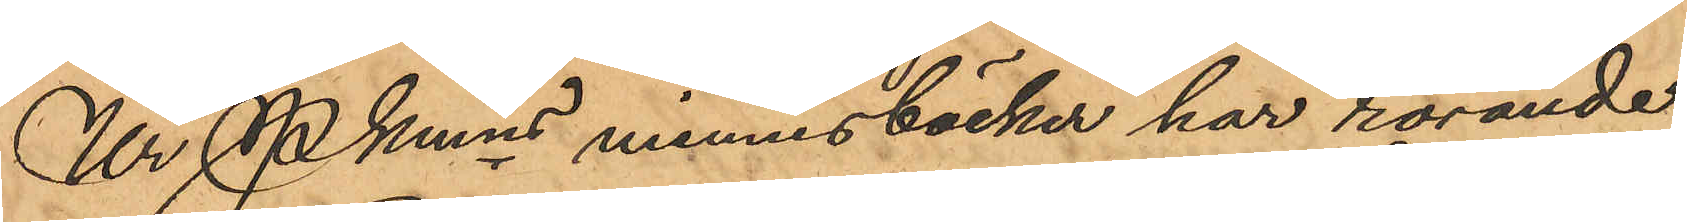Ur Pkmns minnesböcker har rörande
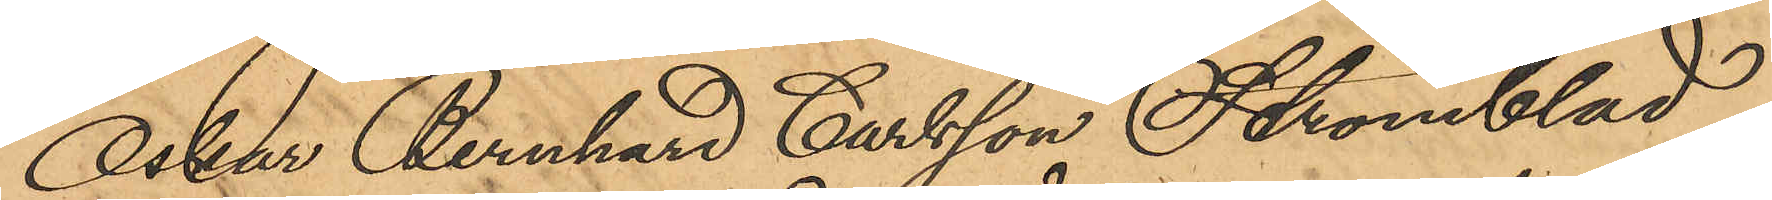Oskar Bernhard Carlsson Strömblad
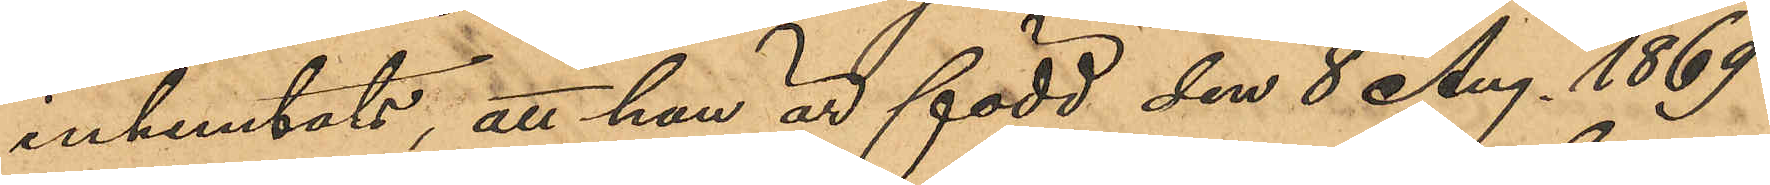inhemtats, att han är född den 8 Aug. 1869
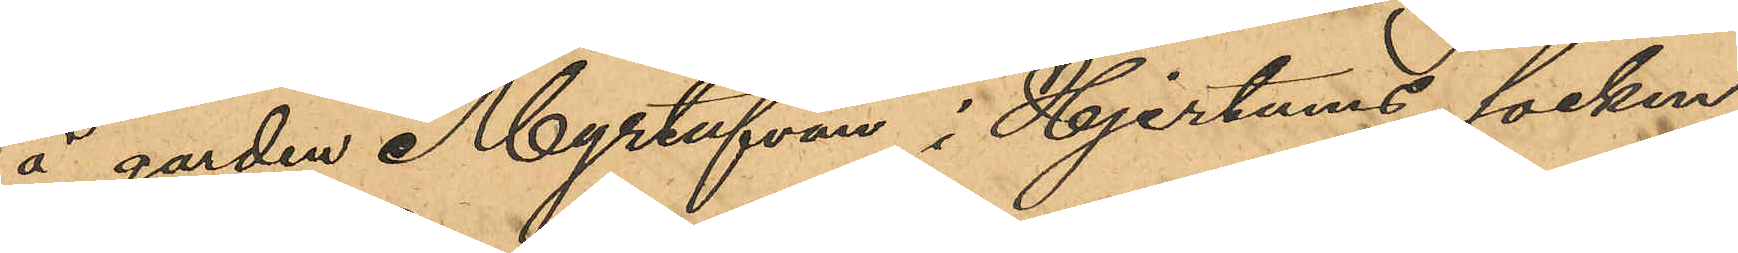å gården Myrtufvan i Hjertums socken
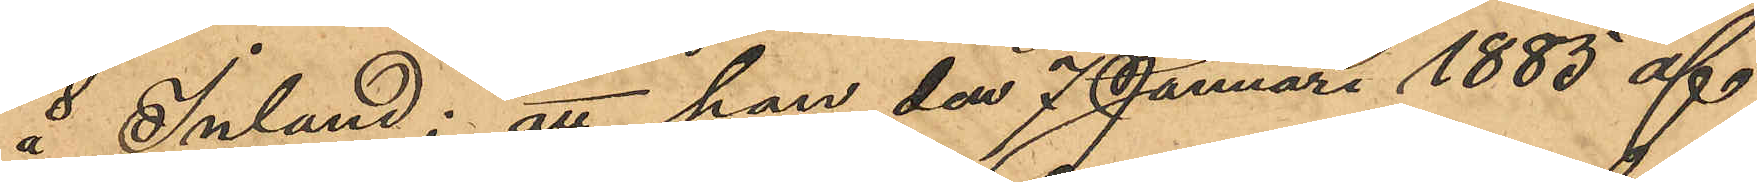å Inland; att han den 7 Januari 1885 af
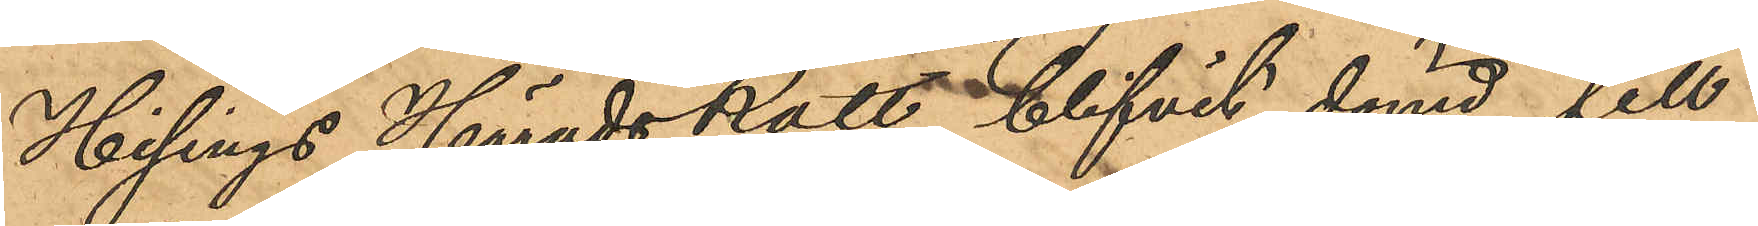Hisings HäradsRätt blifvit dömd till
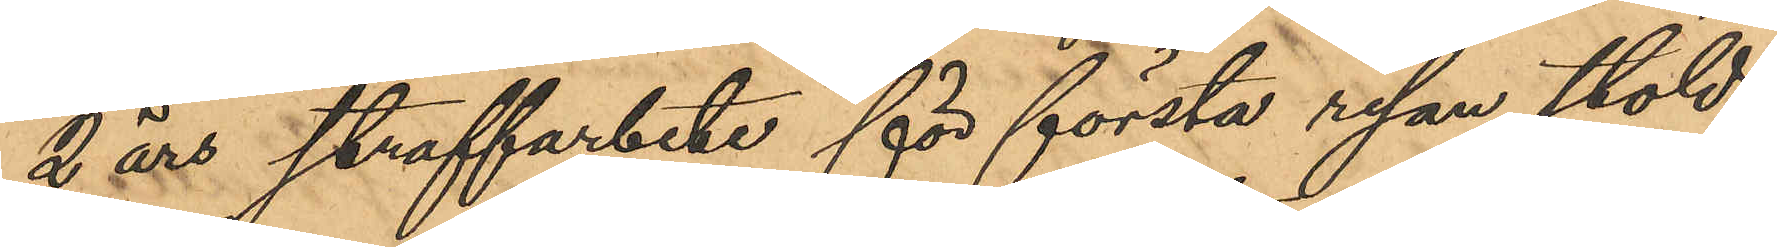2 års straffarbete för första resan stöld;
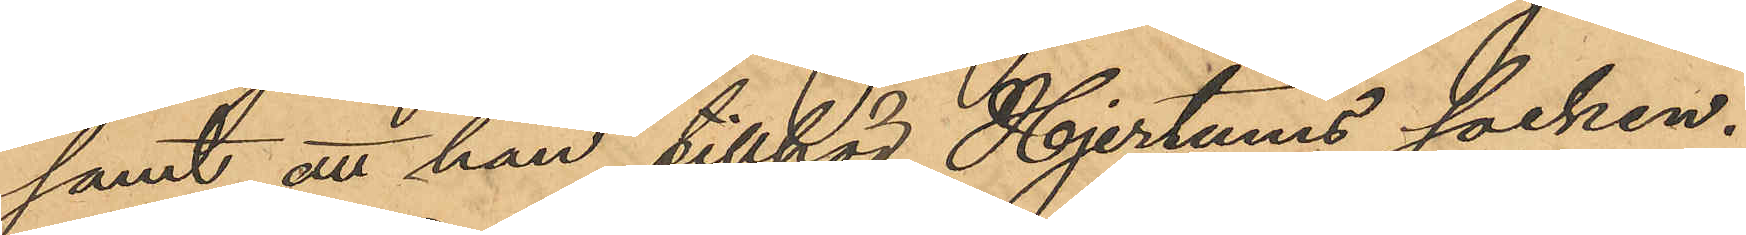samt att han tillhör Hjertums socken.
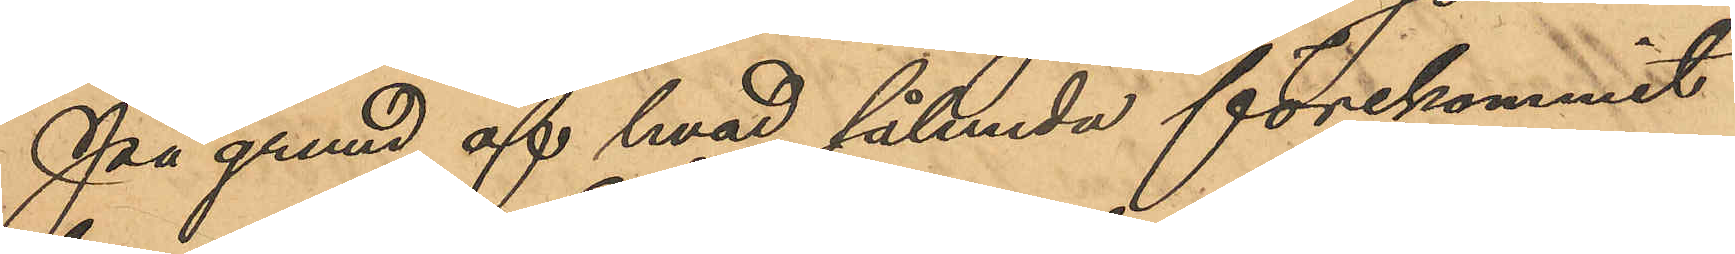På grund af hvad sålunda förekommit
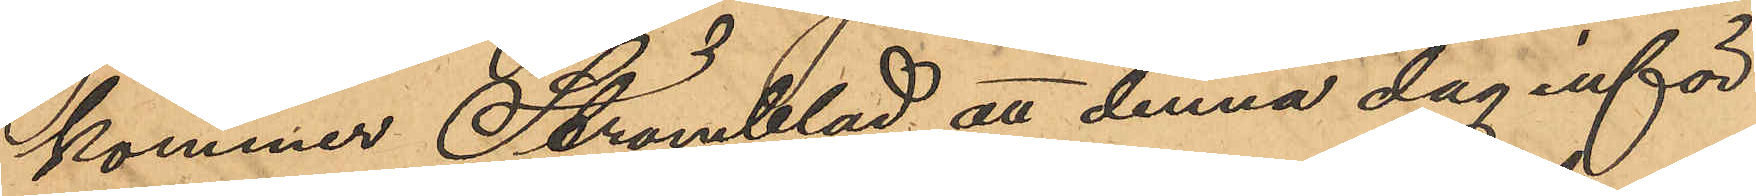kommer Strömblad att denna dag inför
